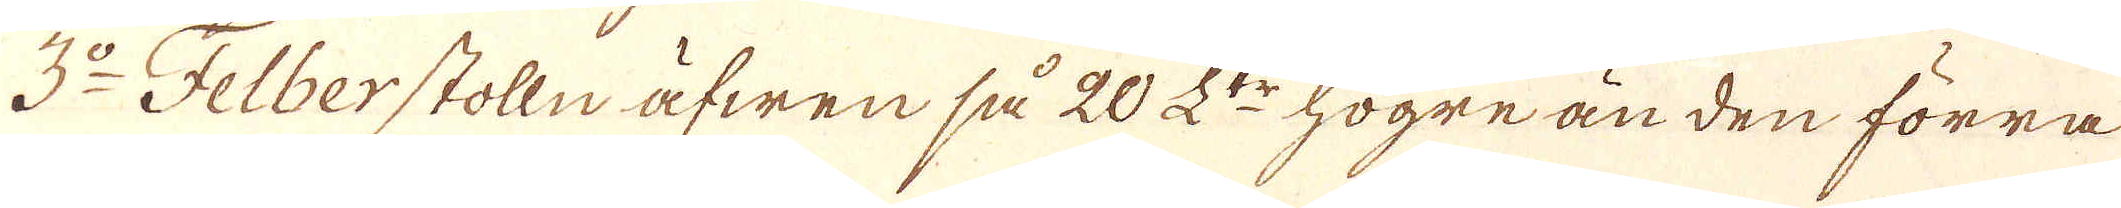3:o Felberstolln äfwen så 20 L:tr högre än den förra
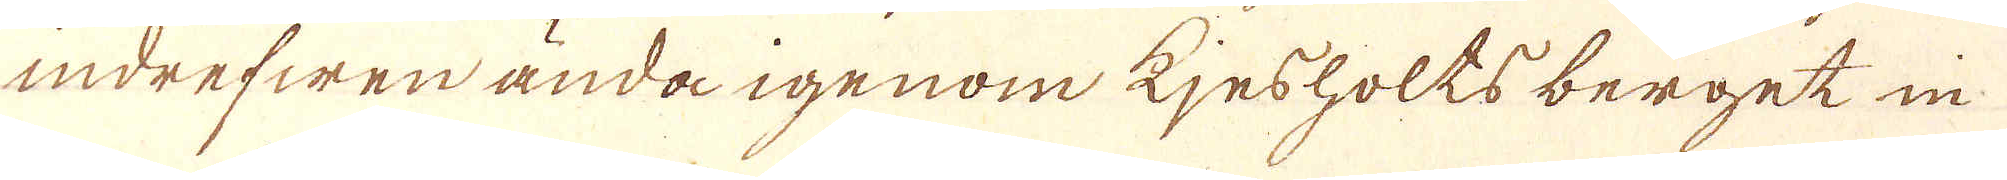indrefwen ända igenom Kjesholts berget in
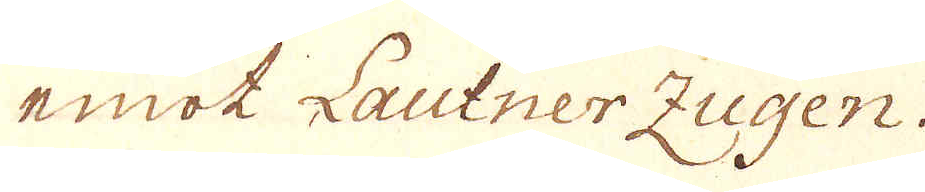emot Lautner Zugen.
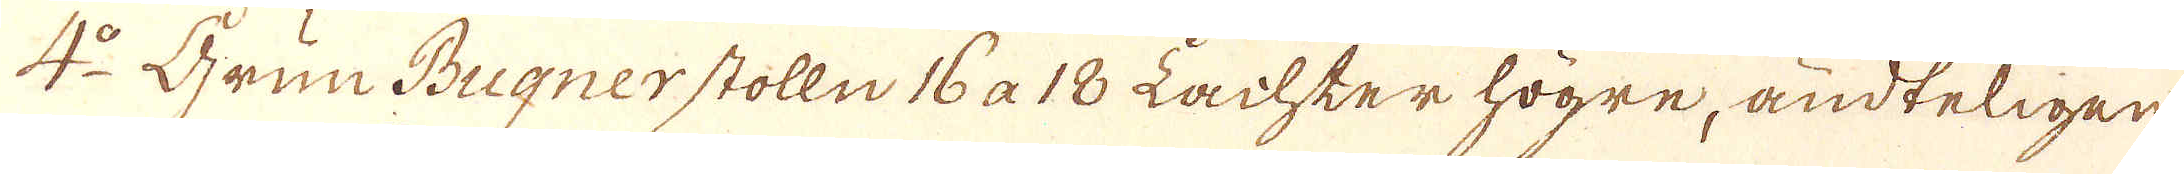4:o Grun Bugnerstolln 16 a 18 Lachter högre, ändteligen
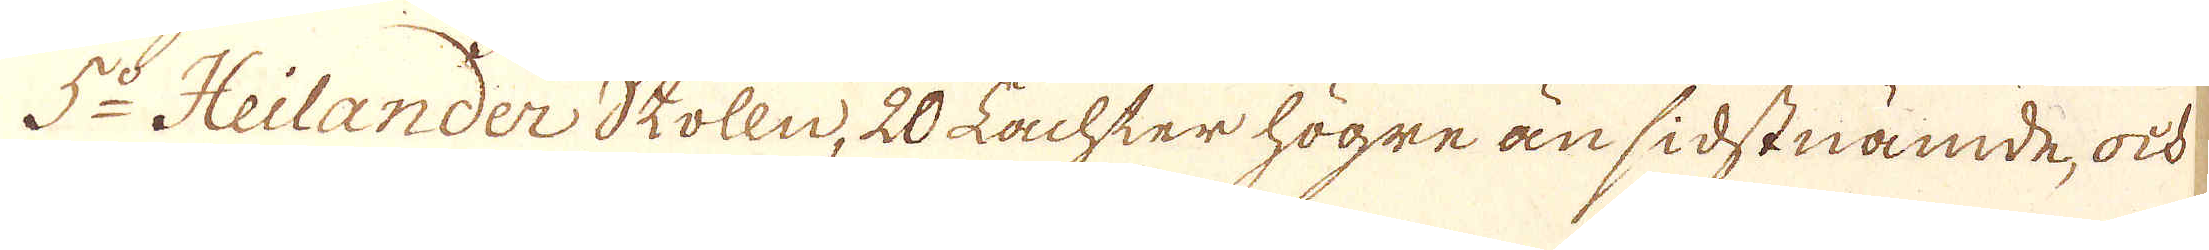5:o Heilander Stolln, 20 Lachter högre än sidstnämde, och
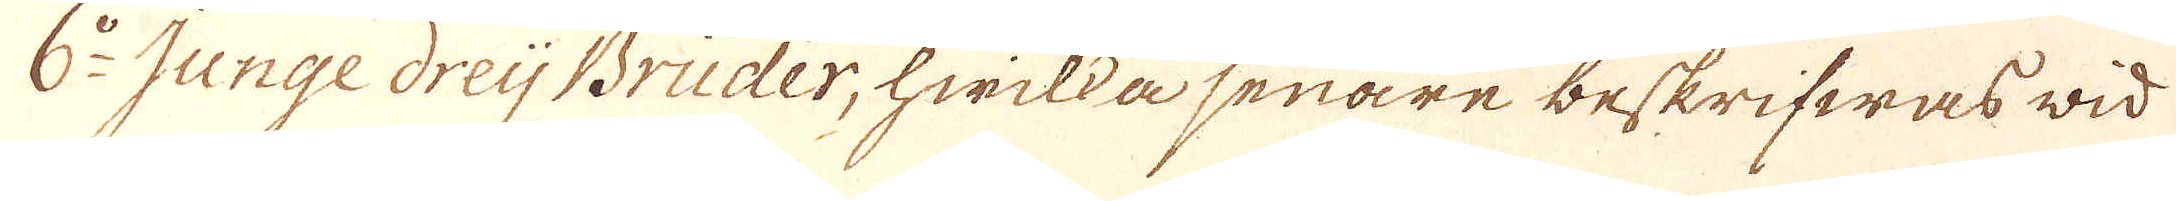6:o Junge dreij Brüder, hwilka senare beskrifwas wid
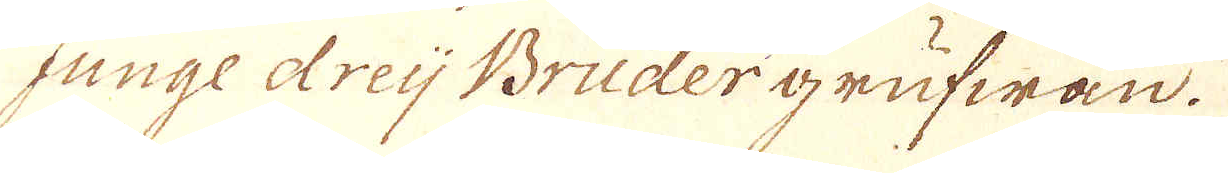junge dreij Brüder grufwan.
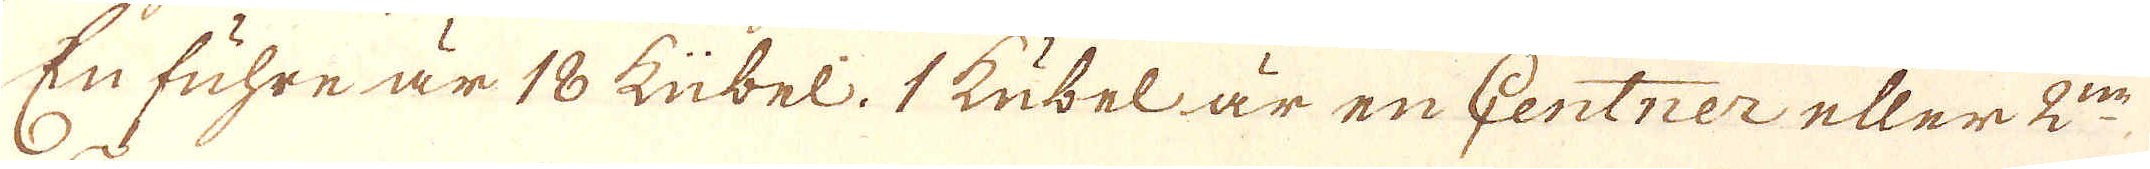En fuhre är 18 kübel. 1 kübel är en Centner eller 2:ne
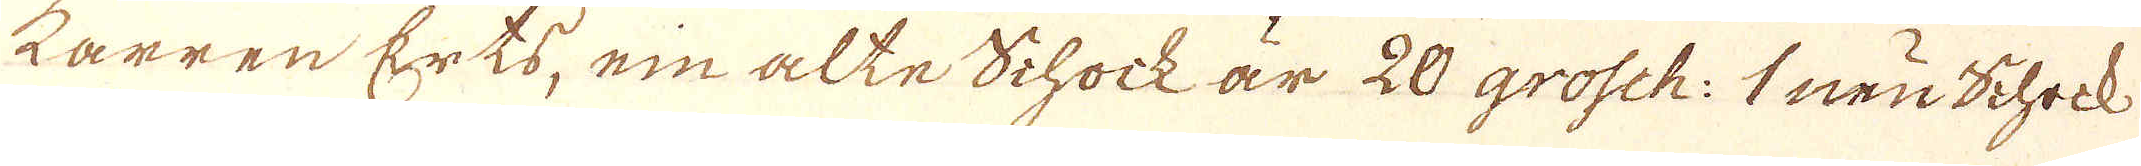karren Erts, ein alte Schock är 20 grosch: 1 neu Schock
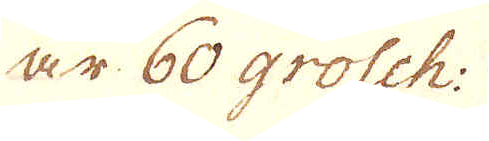är 60 grosch:
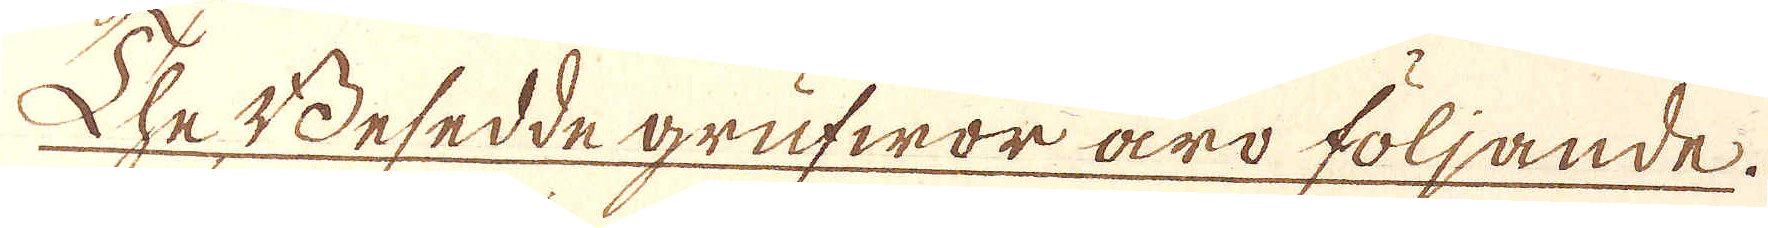The Besedde grufwor äro följande.
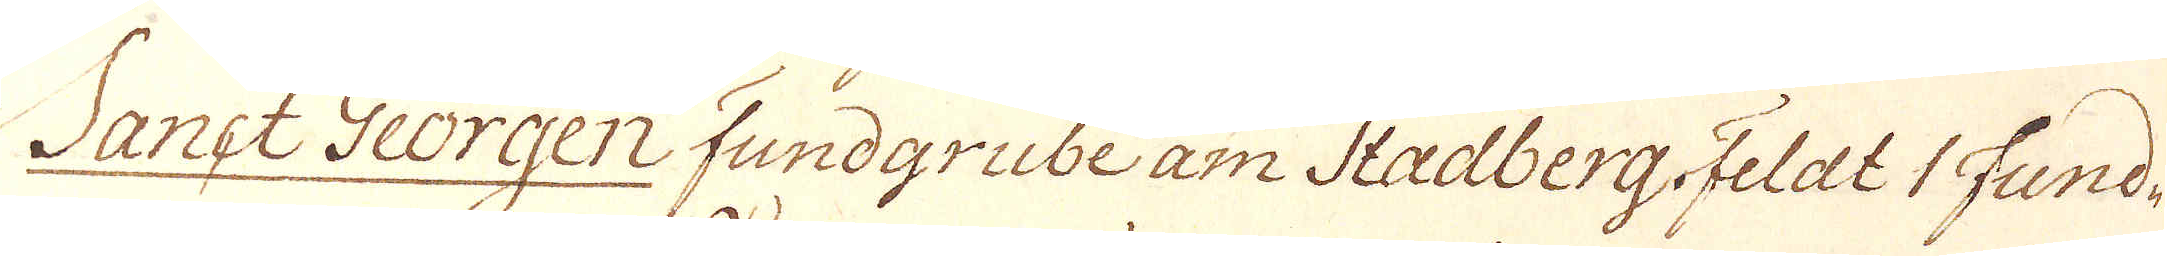Sanct Georgen fundgrube am Stadberg. Feldt 1 Fund-
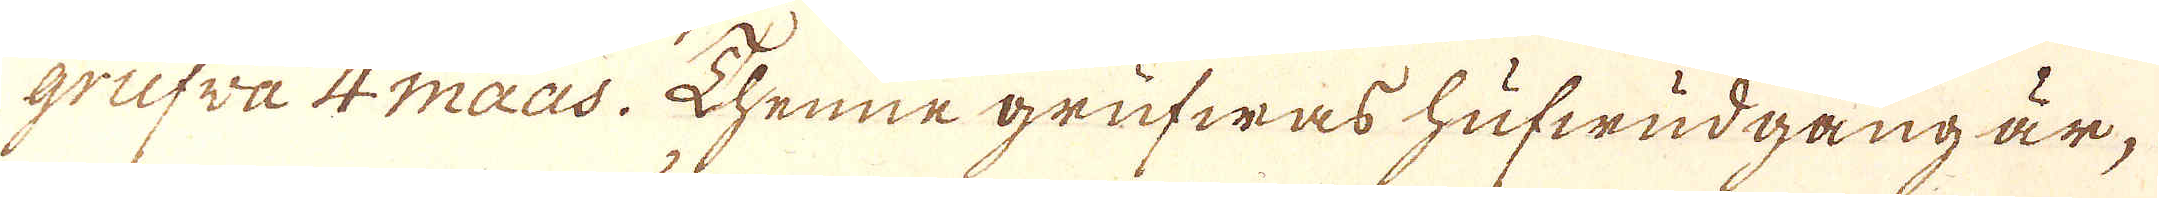grufva 4 maas. Thenne grufwas hufwudgång är,
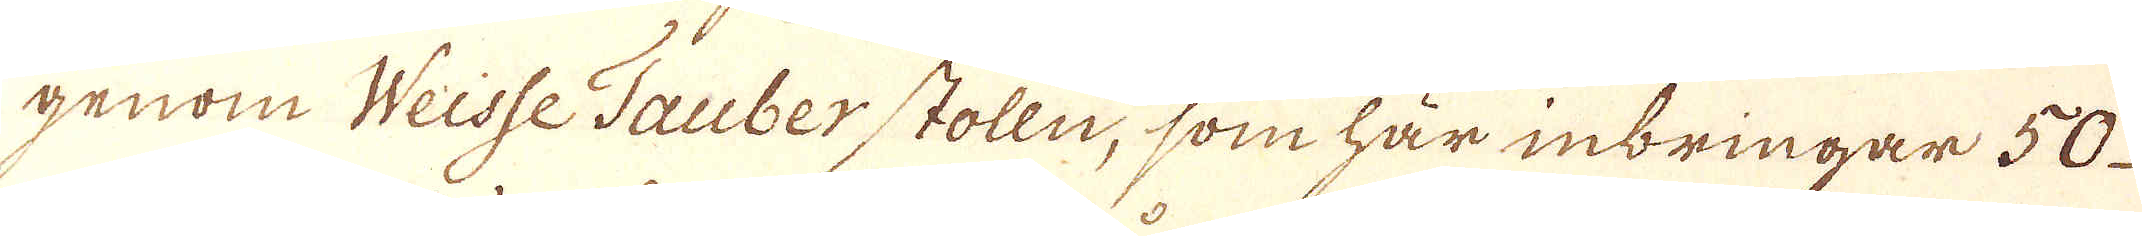genom Weisse Tauberstolln, som har inbringar 50
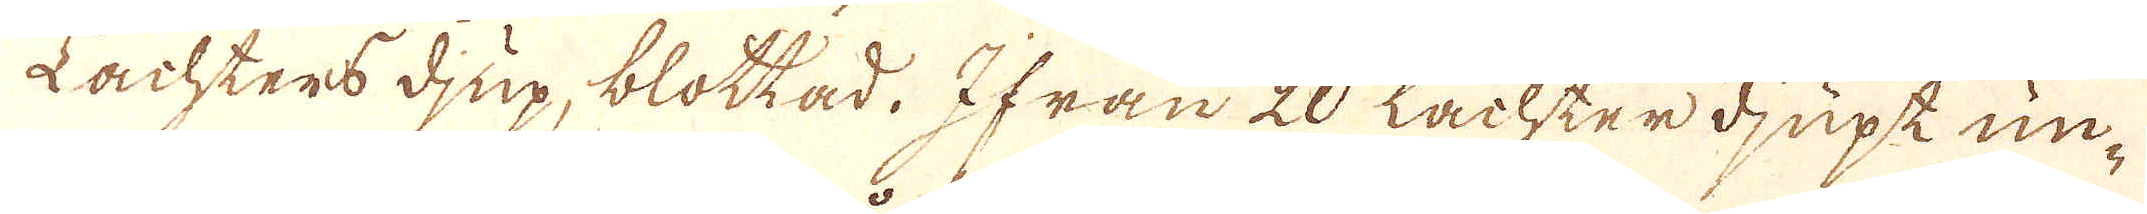Lachters djup, blottad. Ifrån 20 Lachter djupe un-
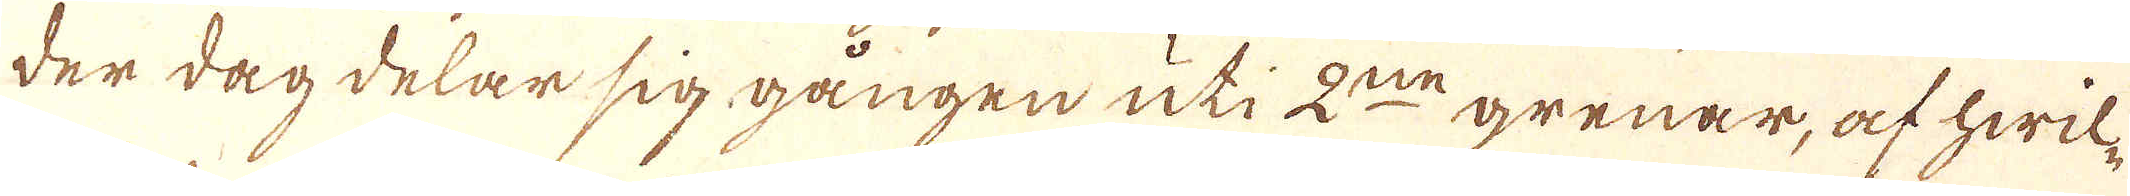der dag delar sig gången uti 2:ne grenar, af hwil-
